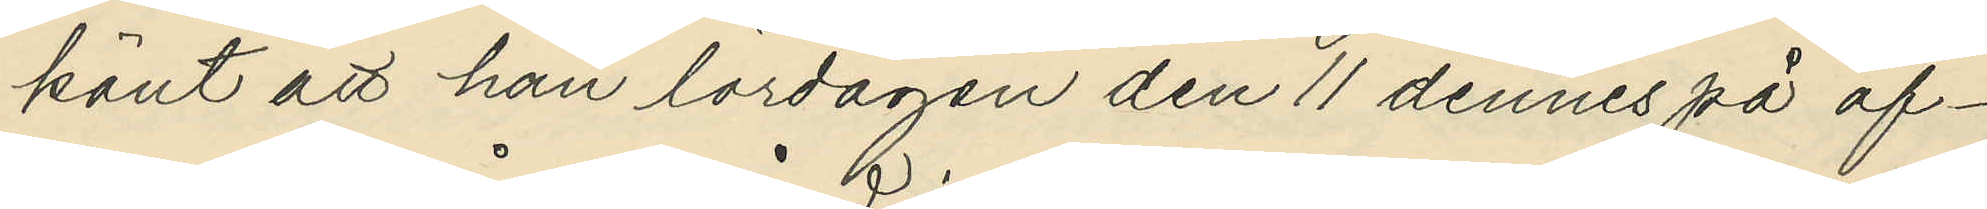känt att han lördagen den 11 dennes på af¬
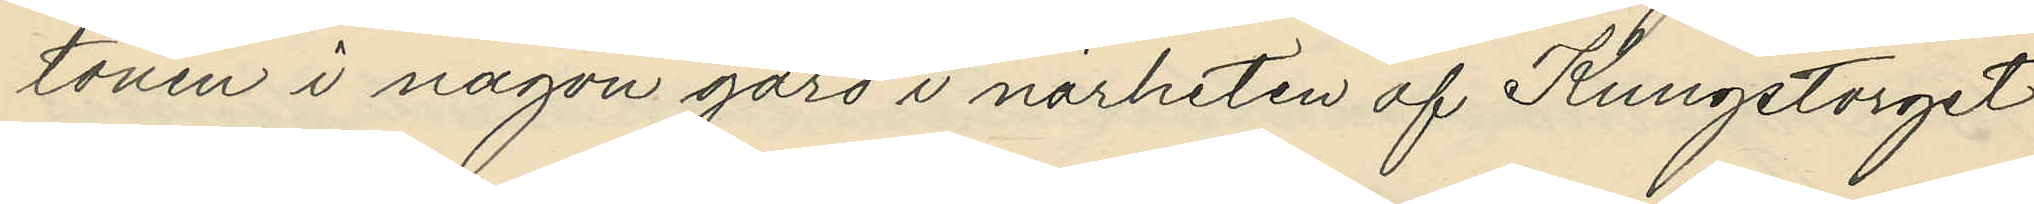tonen i någon gård i närheten af Kungstorget
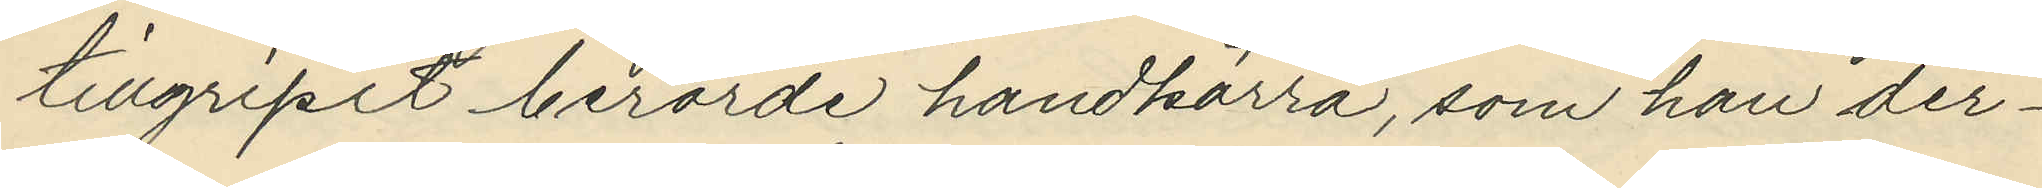tillgripit berörde handkärra, som han der¬
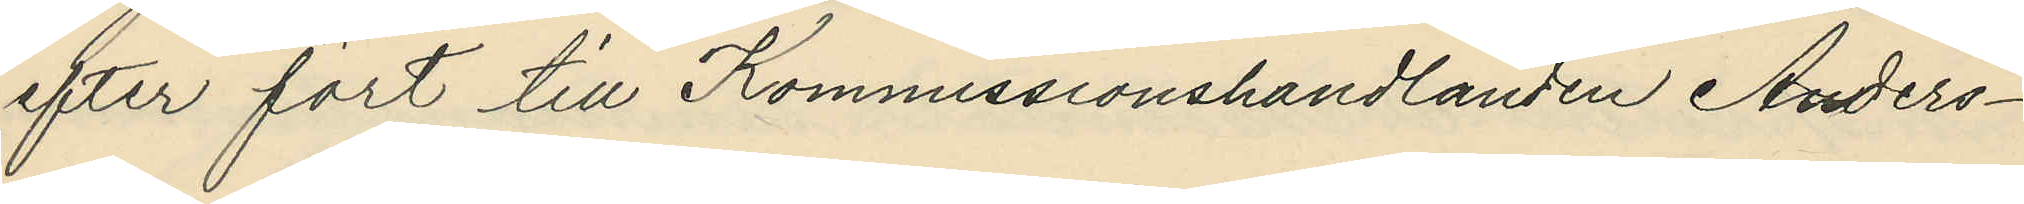efter fört till Kommissionshandlanden Anders¬
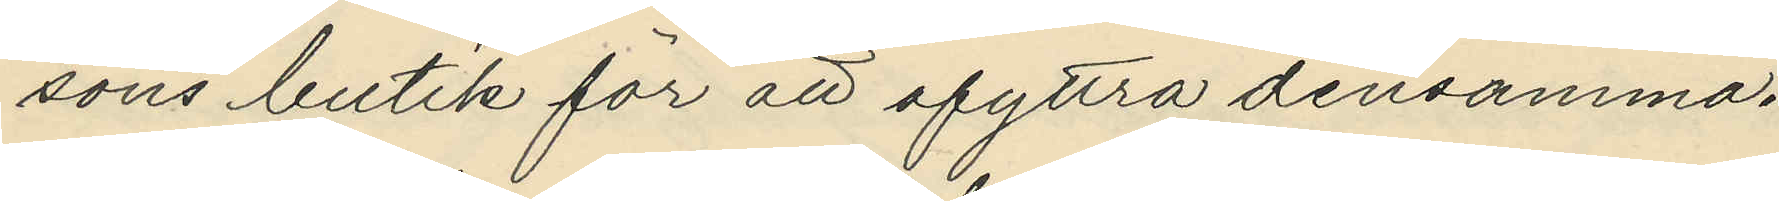sons butik för att afyttra densamma.
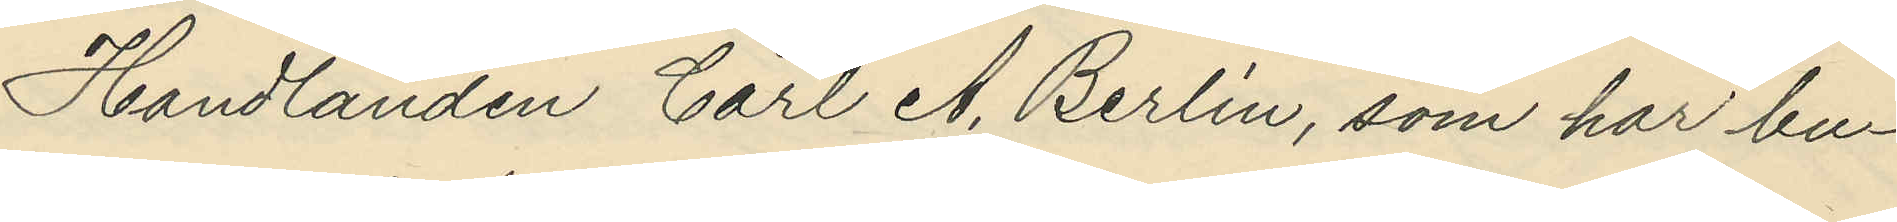Handlanden Carl A. Berlin, som har bu¬
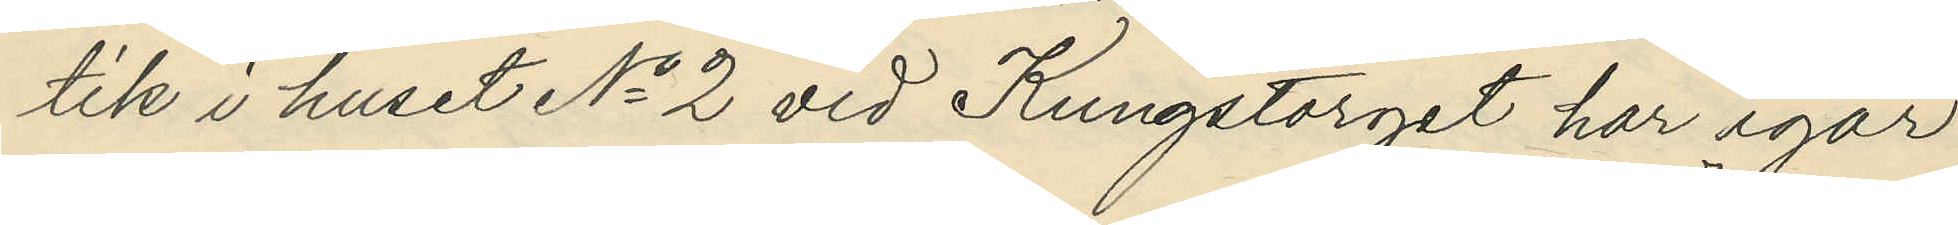tik i huset No 2 vid Kungstorget har igår
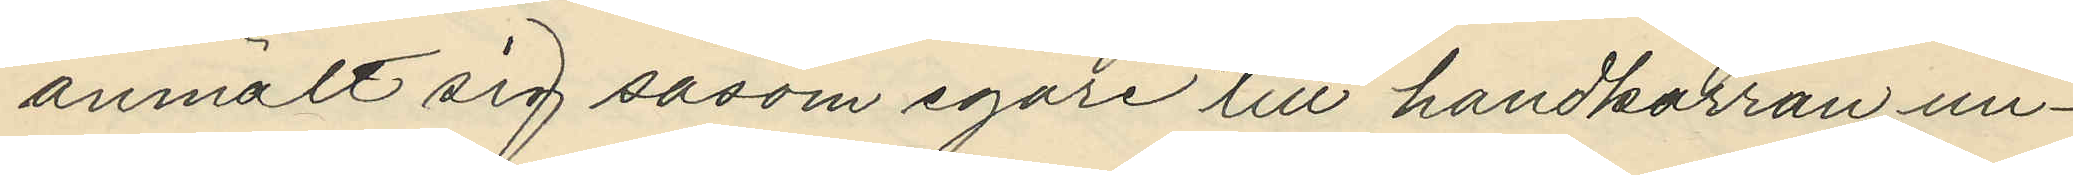anmält sig såsom egare till handkärran un¬
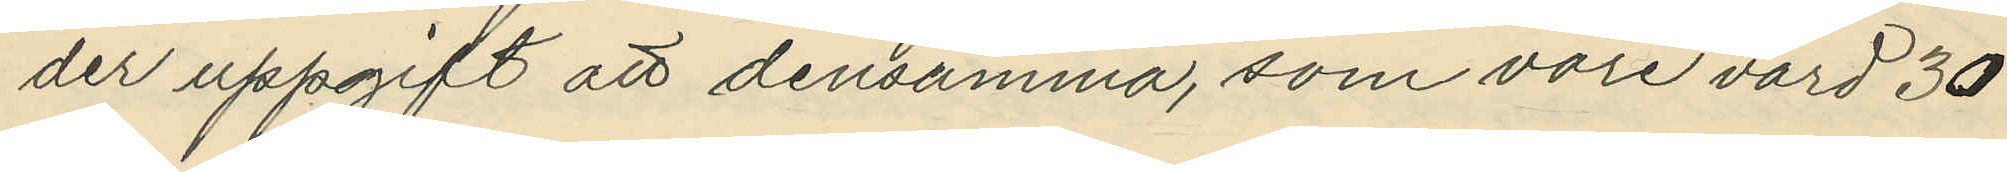der uppgift att densamma, som vore värd 30
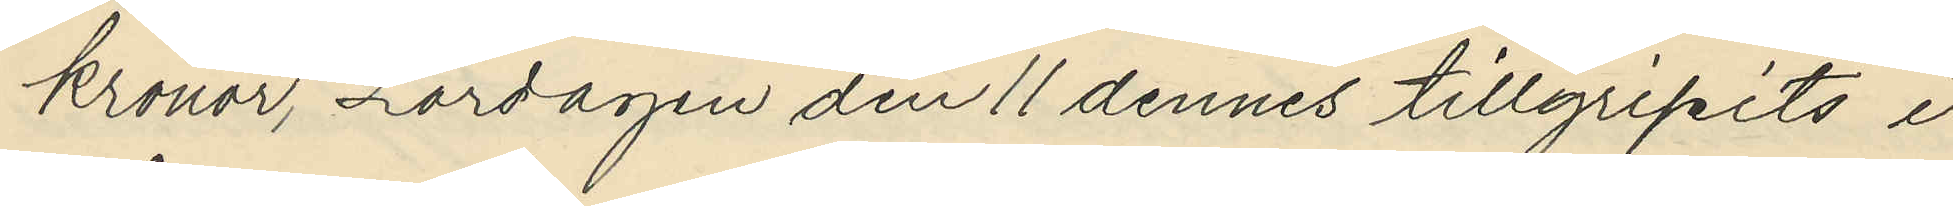kronor, Lördagen den 11 dennes tillgripits i
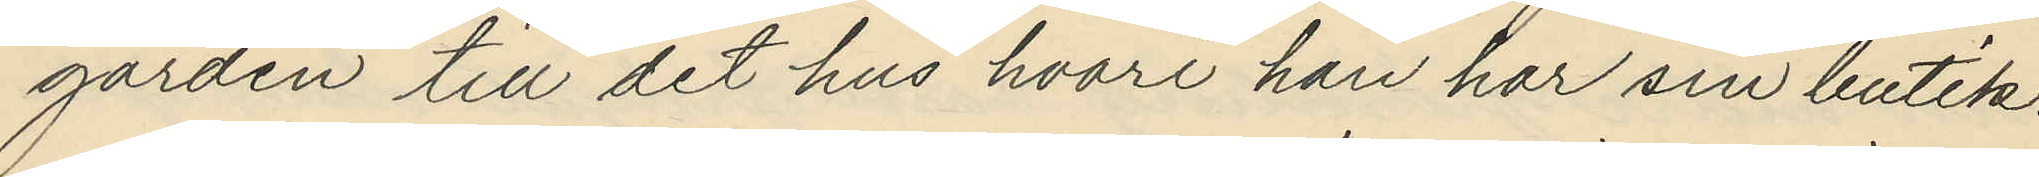gården till det hus hvari han har sin butik.
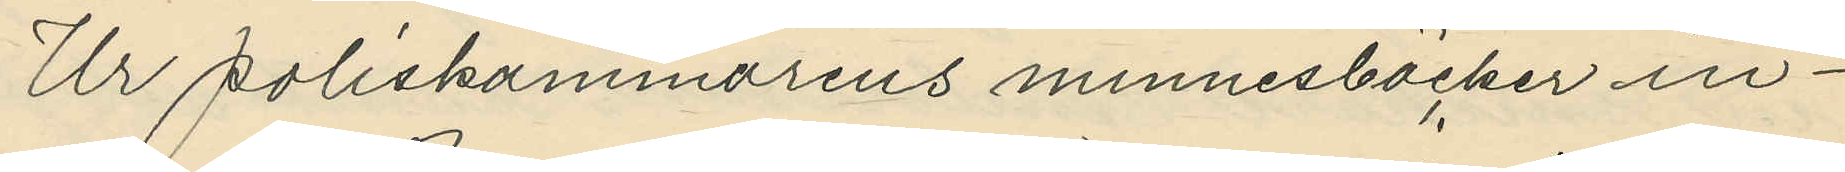Ur poliskammarens minnesböcker in¬
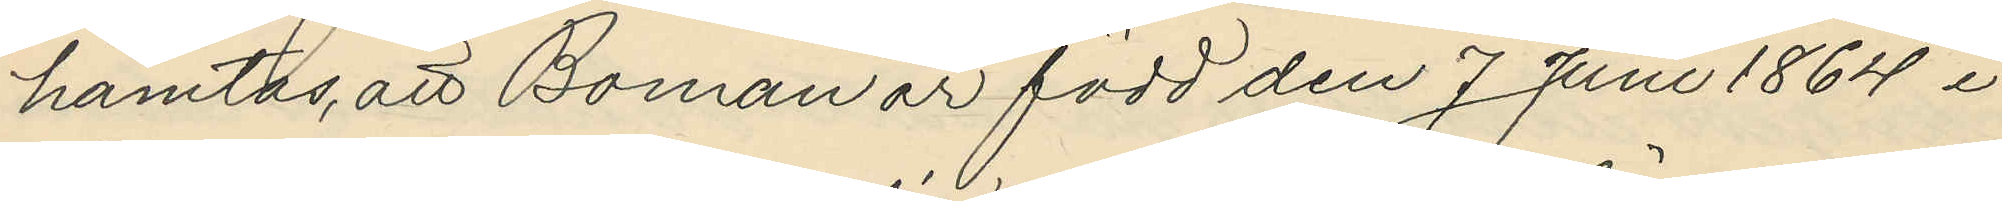hämtas, att Boman är född den 7 Juni 1864 i 
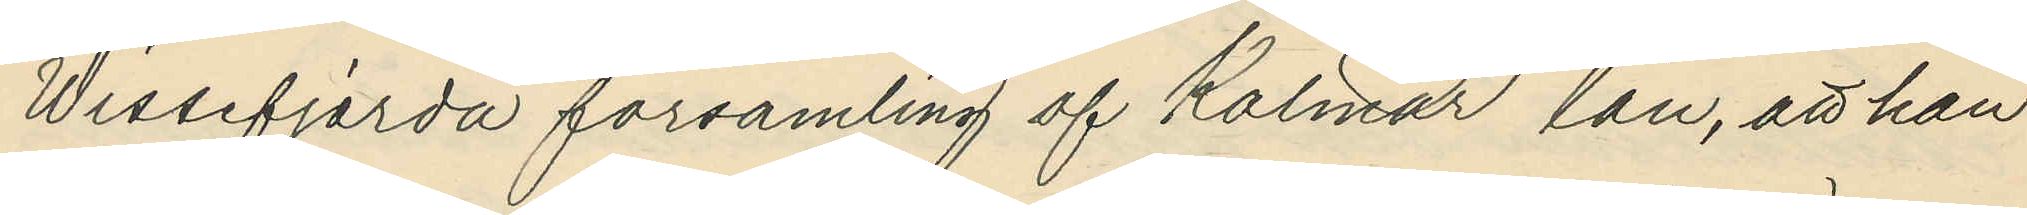Wissefjerda församling af Kalmar län, att han
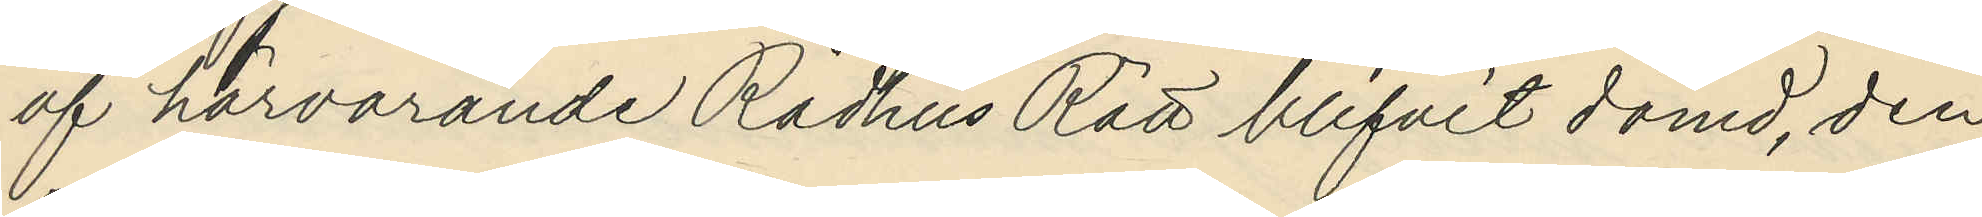af härvarande Rådhus Rätt blifvit dömd, den
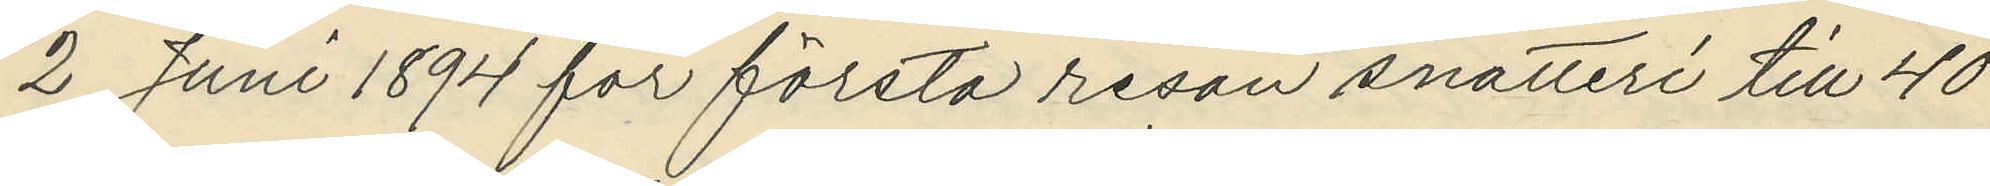2 Juni 1894 för första resan snatteri till 40
